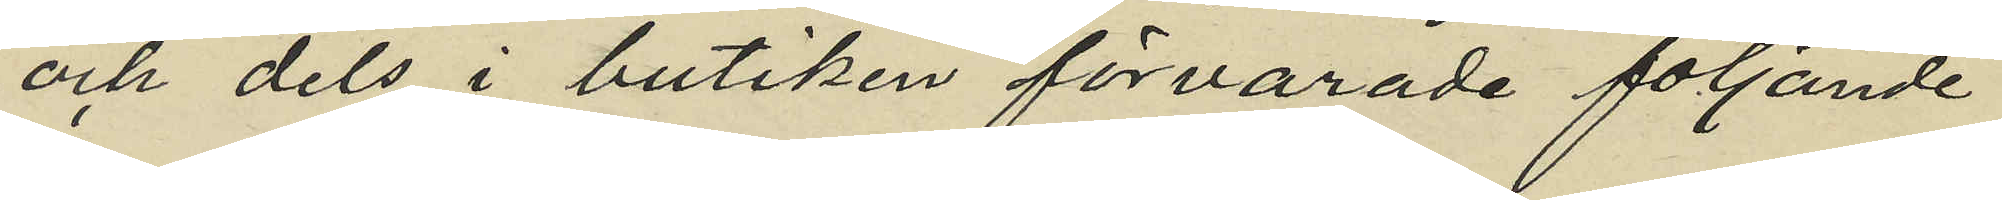och dels i butiken förvarade följande
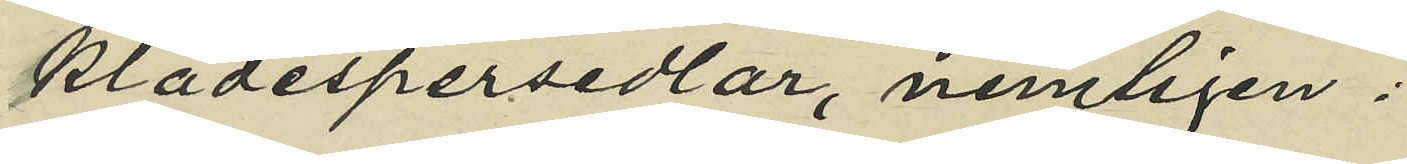klädespersedlar, nemligen:
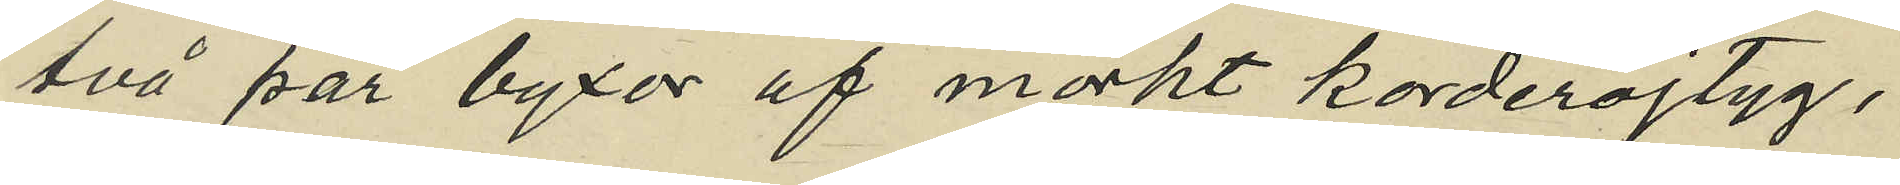två par byxor af mörkt korderojtyg,
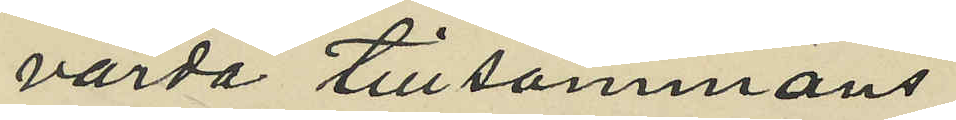värda tillsammans
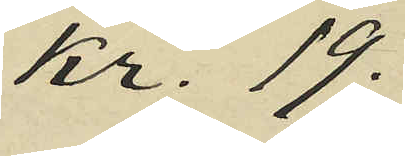kr. 19.
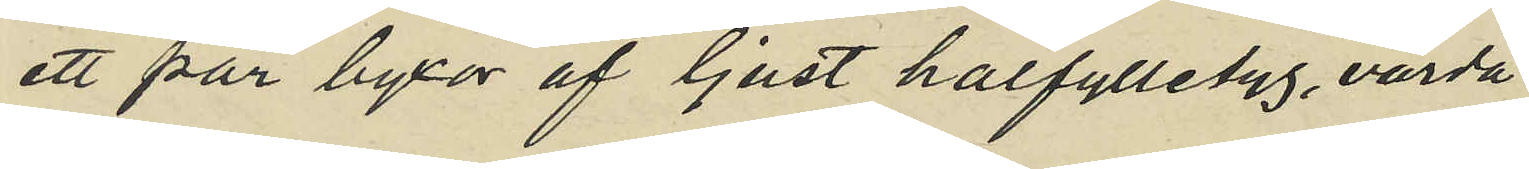ett par byxor af ljust halfylletyg, värda
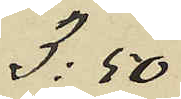3.50
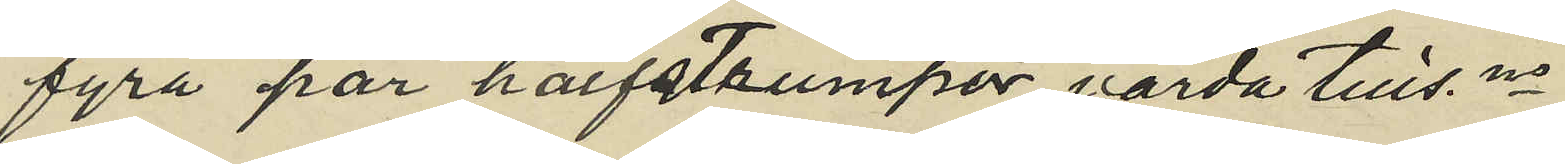fyra par halfstrumpor värda tillsammans
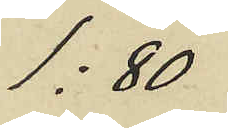1:80
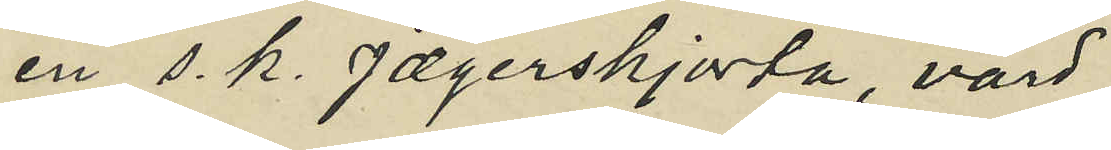en s. k. jægerskjorta, värd
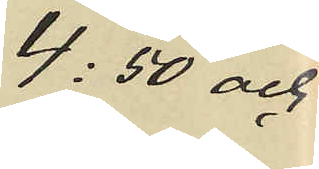4:50 och
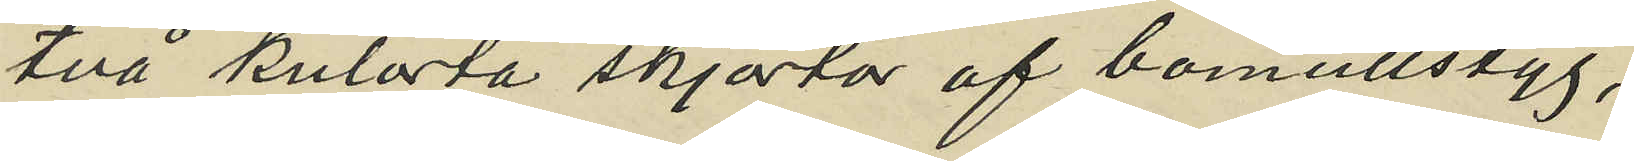två kulörta skjortor af bomullstyg,
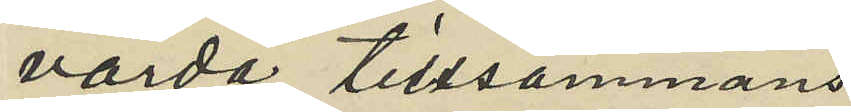värda tillsammans
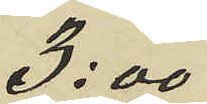3:00
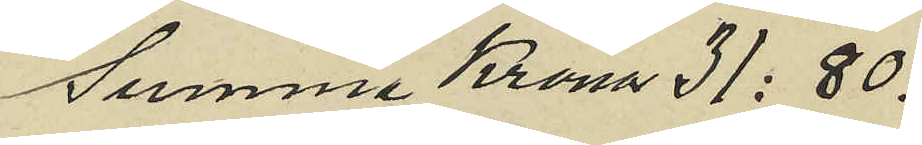Summa Krona 31:80.
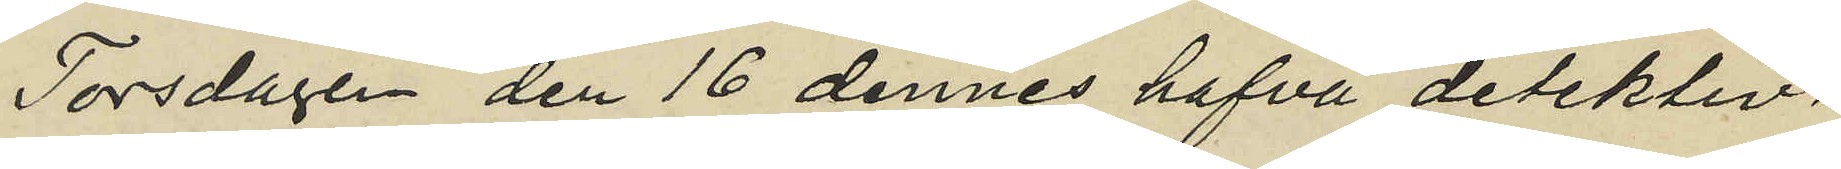Torsdagen den 16 dennes hafva detektiv¬
